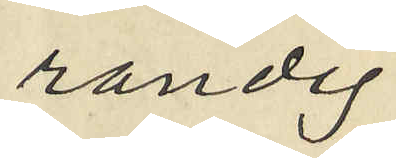randig
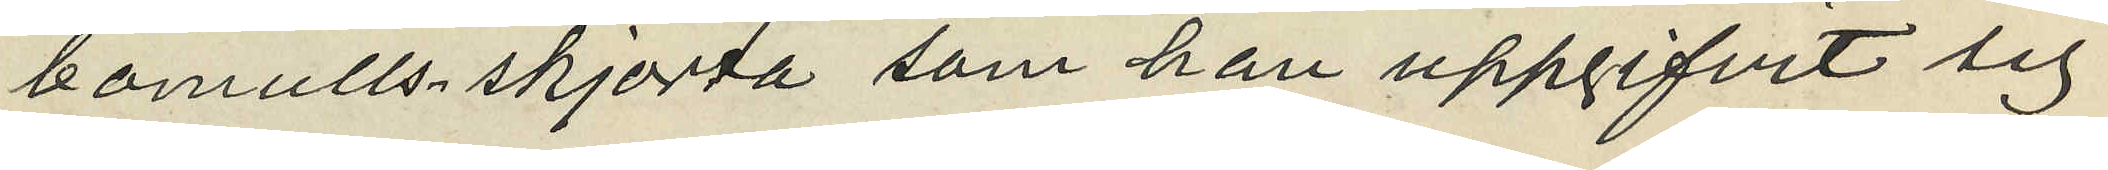bomullsskjorta som han uppgifvit sig
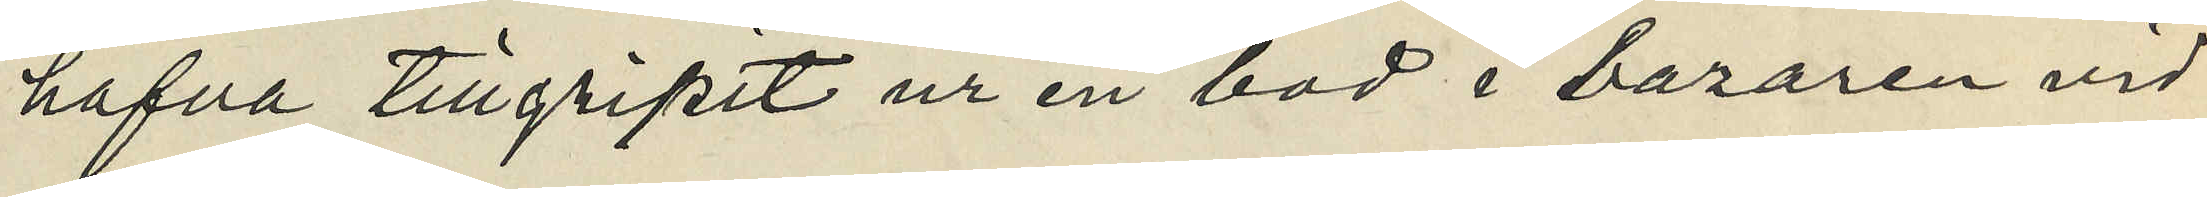hafva tillgripit ur en bod i bazaren vid
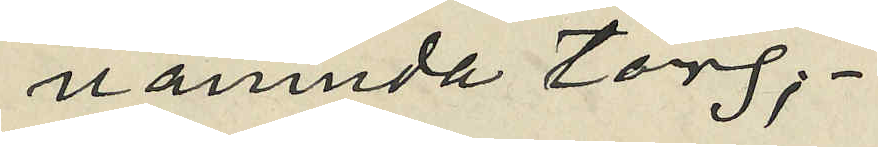nämnda torg;
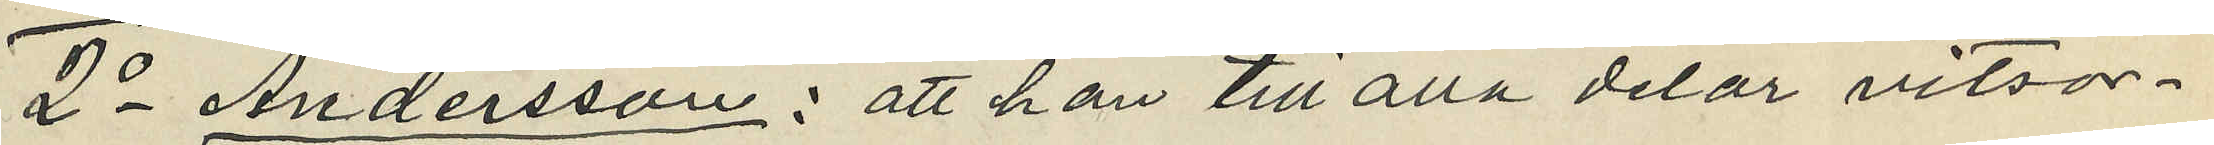2o Andersson: att han till alla delar vitsor¬
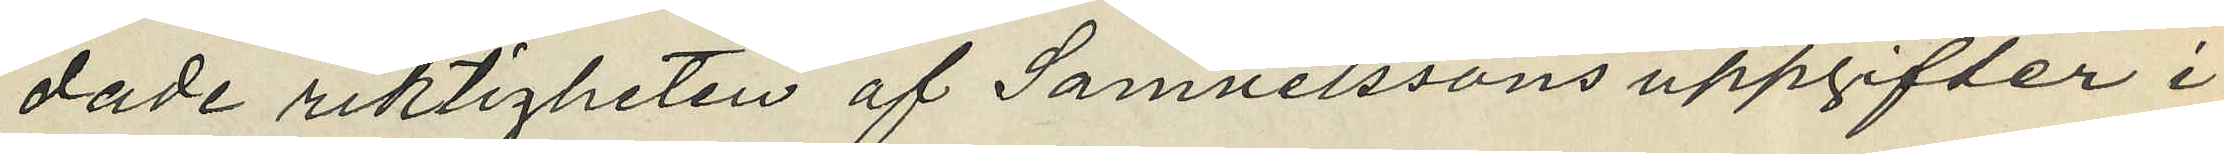dade riktigheten af Samuelssons uppgifter i
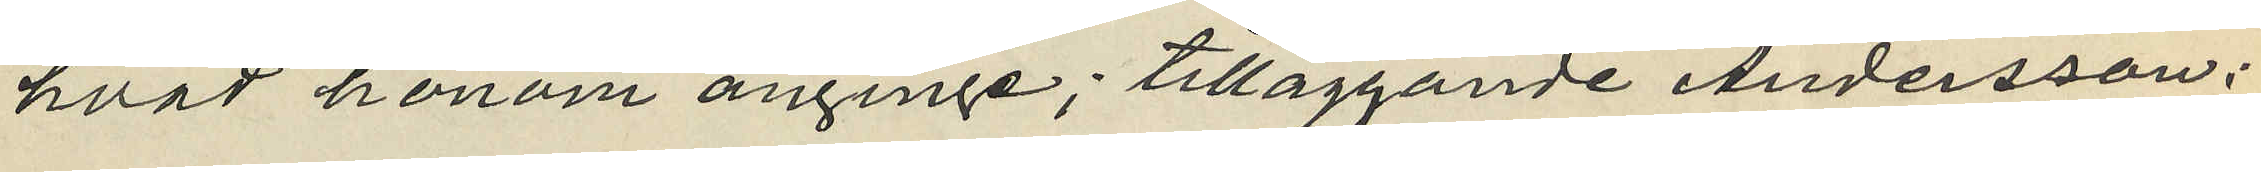hvad honom anginge; tilläggande Andersson:
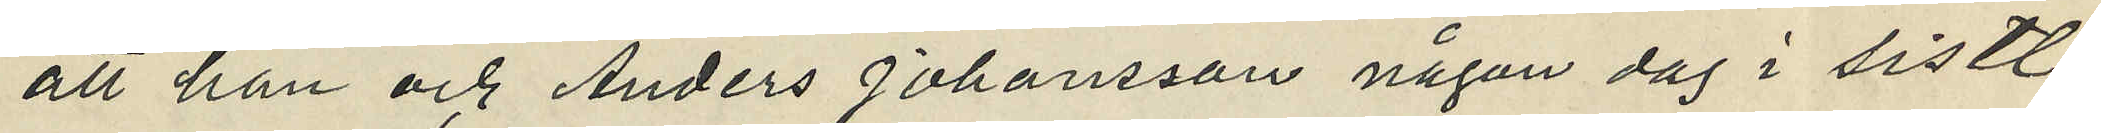att han och Anders Johansson någon dag i sistl.
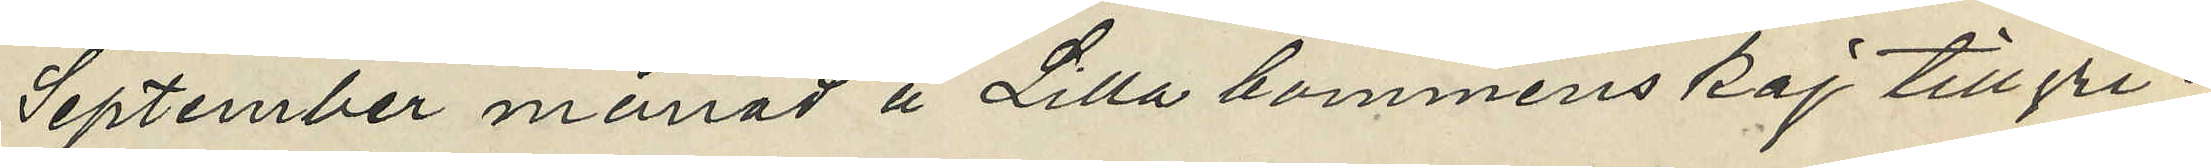September månad å Lilla bommenskaj tillgri¬
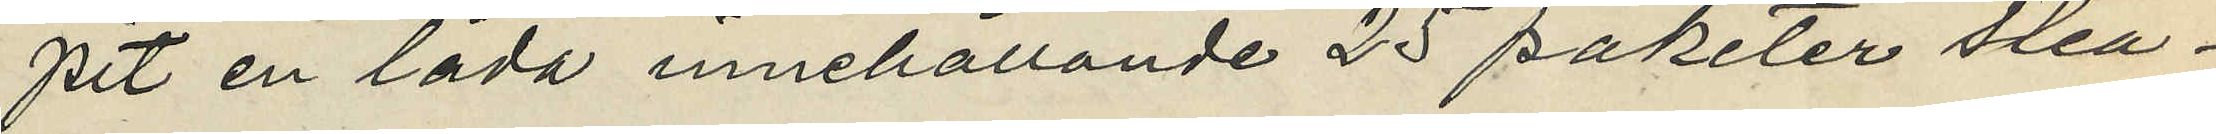pit en låda innehållande 25 paketer stea¬
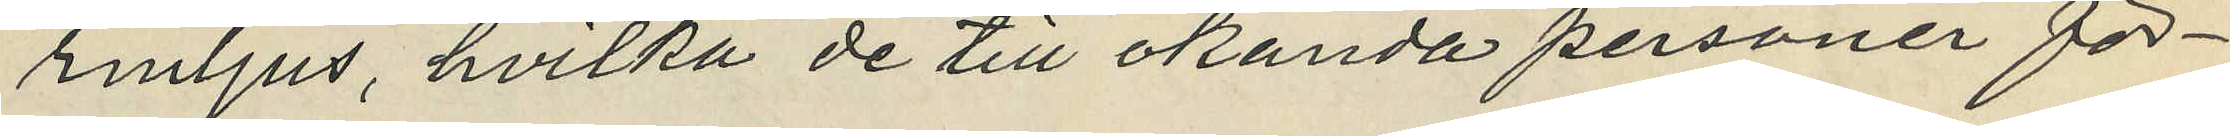rmljus, hvilka de till okända personer för¬
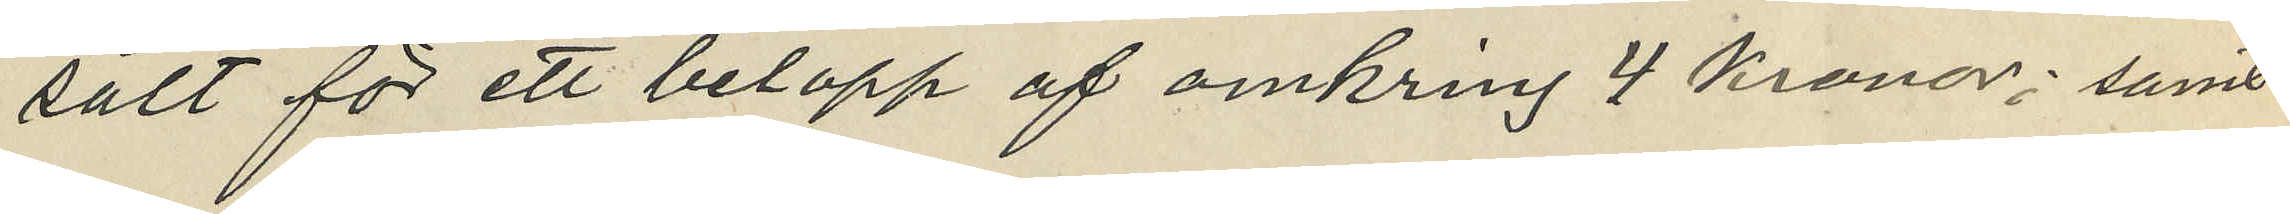sålt för ett belopp af omkring 4 Kronor; samt
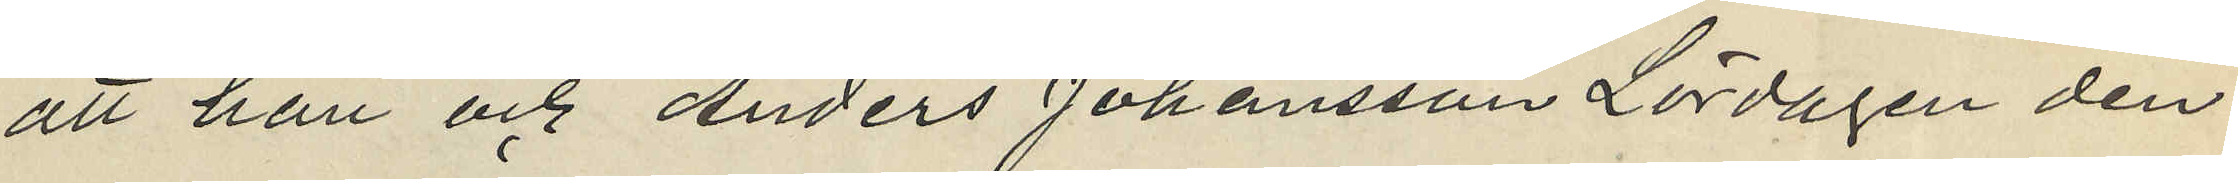att han och Anders Johansson Lördagen den
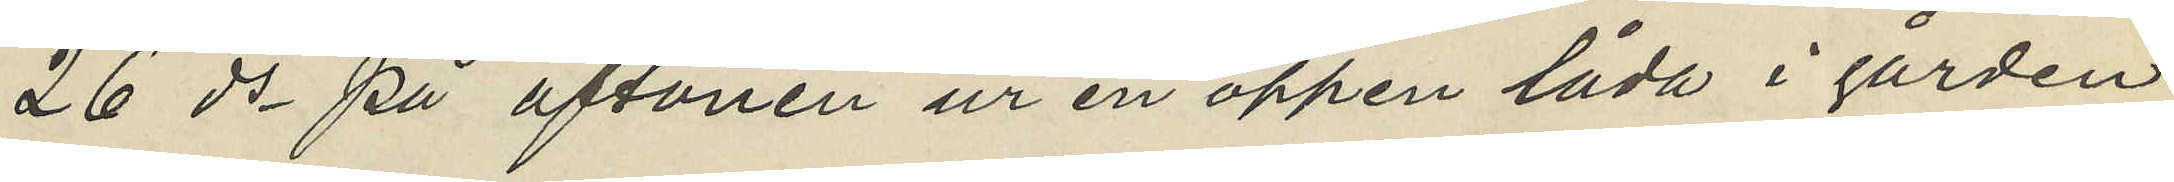26 ds på aftonen ur en öppen låda i gården
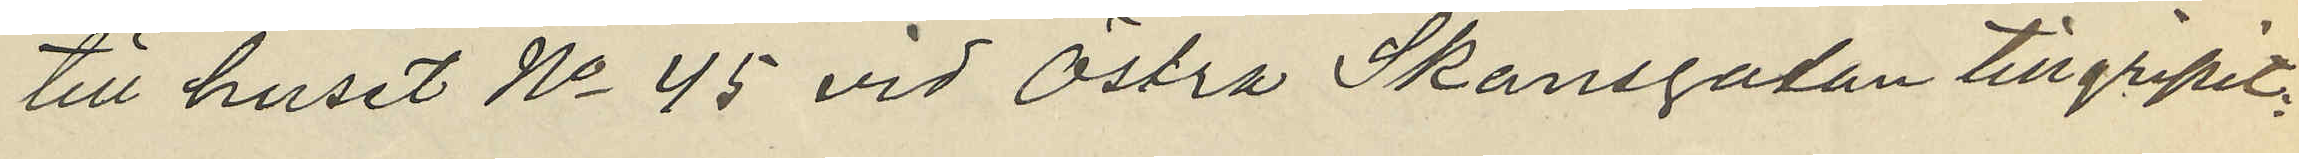till huset No 45 vid Östra Skansgatan tillgripit:
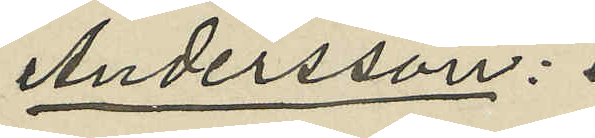Andersson:
